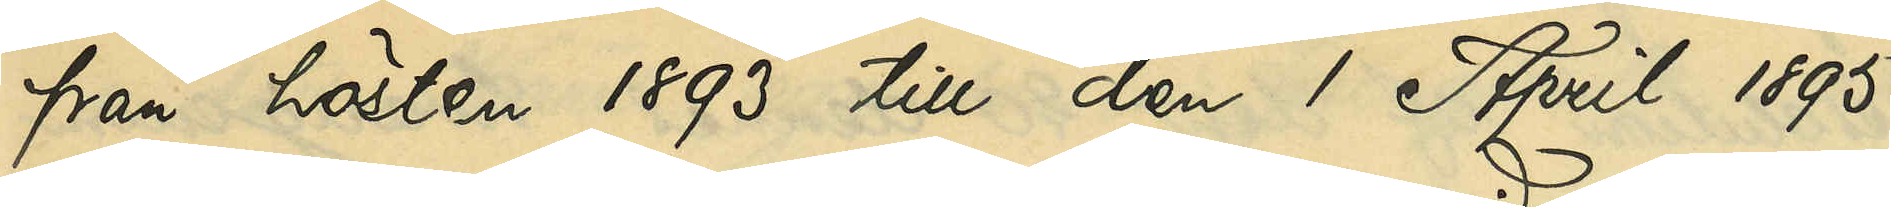från hösten 1893 till den 1 April 1895
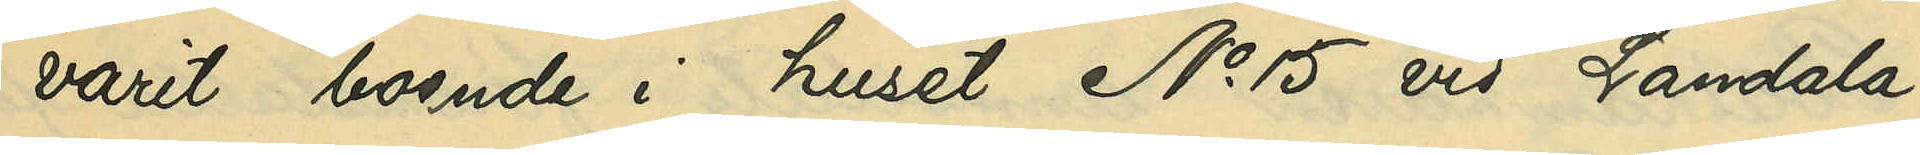varit boende i huset No 15 vid Landala¬
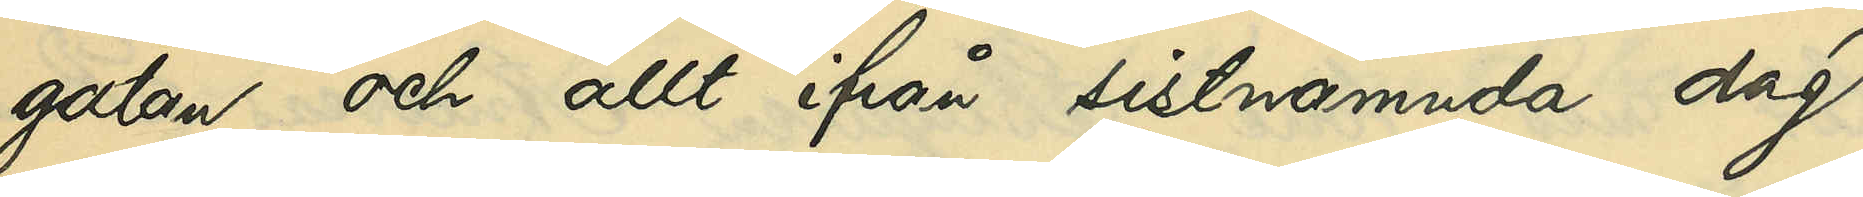gatan och allt ifrån sistnämnda dag
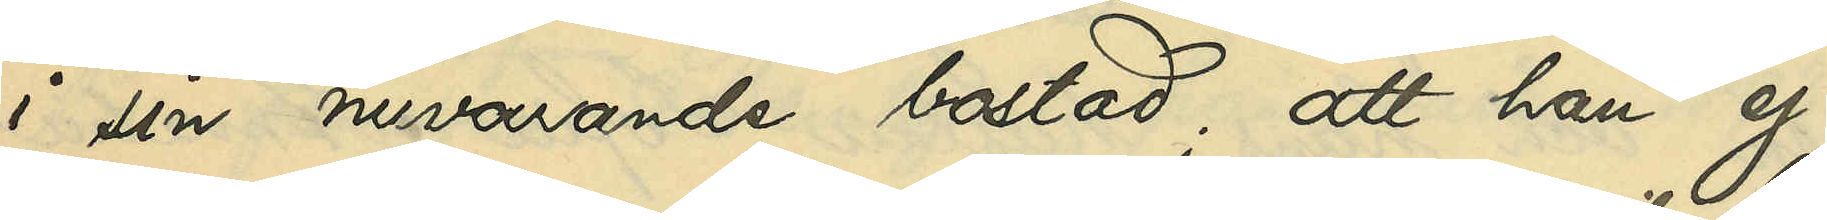i sin nuvarande bostad; att han ej
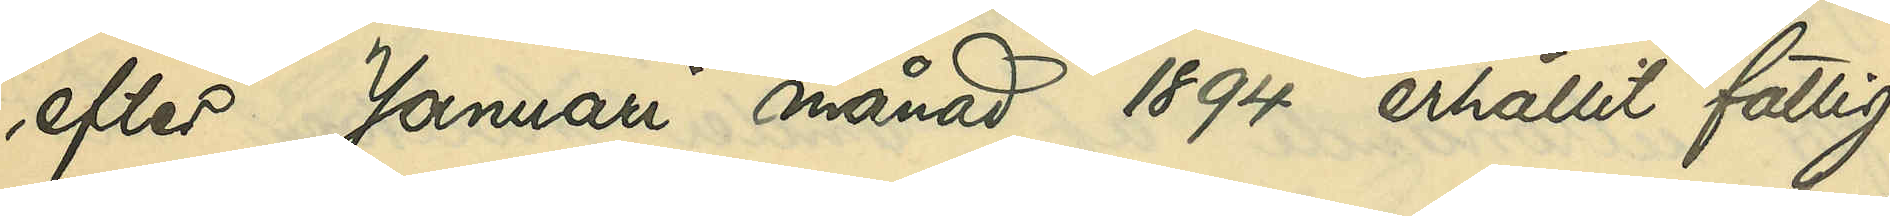efter Januari månad 1894 erhållit fattig¬
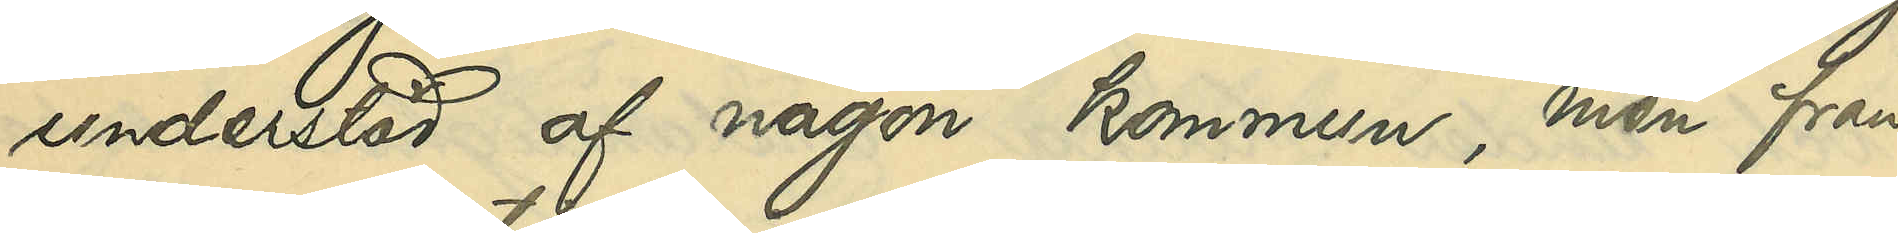understöd af någon kommun, men från
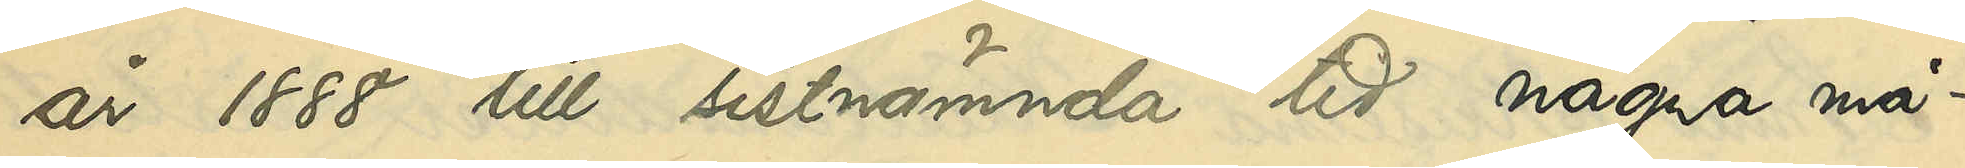år 1888 till sistnämnda tid några må¬
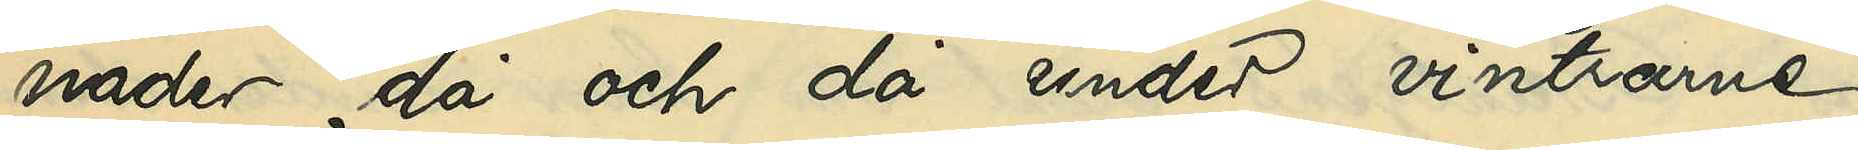nader, då och då under vintrarne
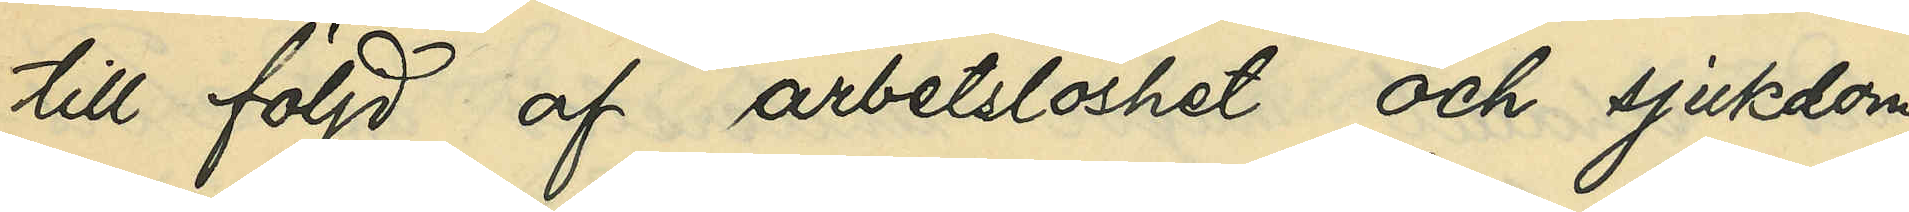till följd af arbetslöshet och sjukdom
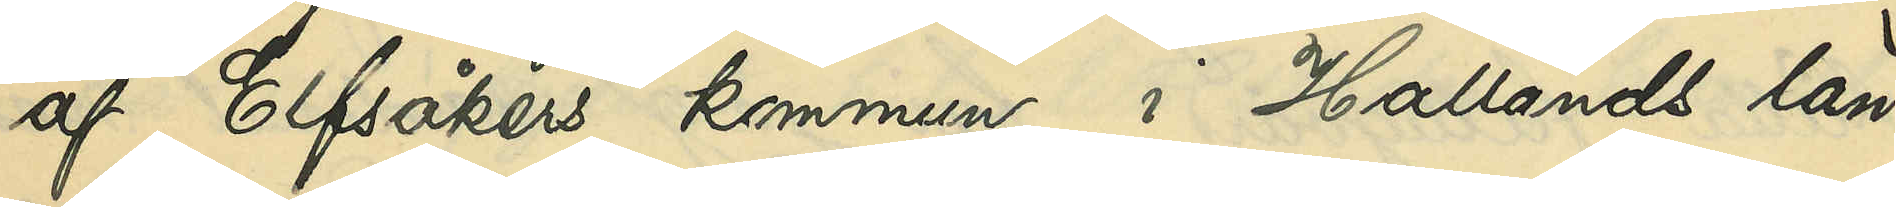af Elfsåkers kommun i Hallands län
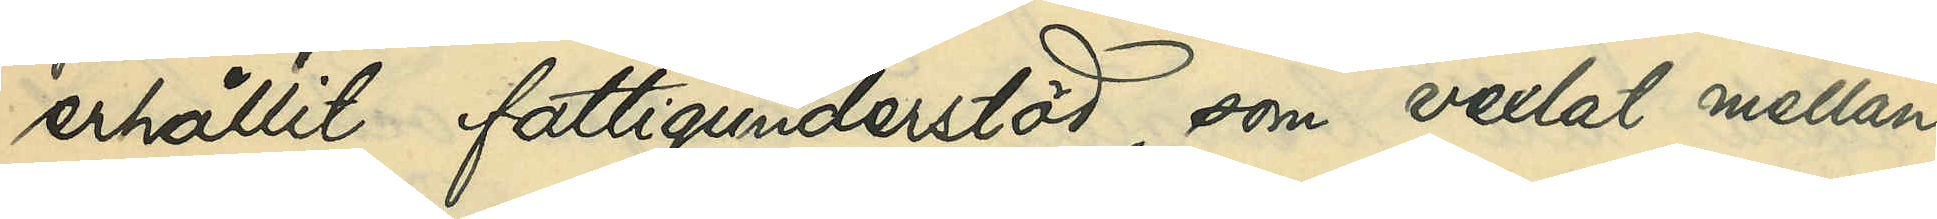erhållit fattigunderstöd, som vexlat mellan
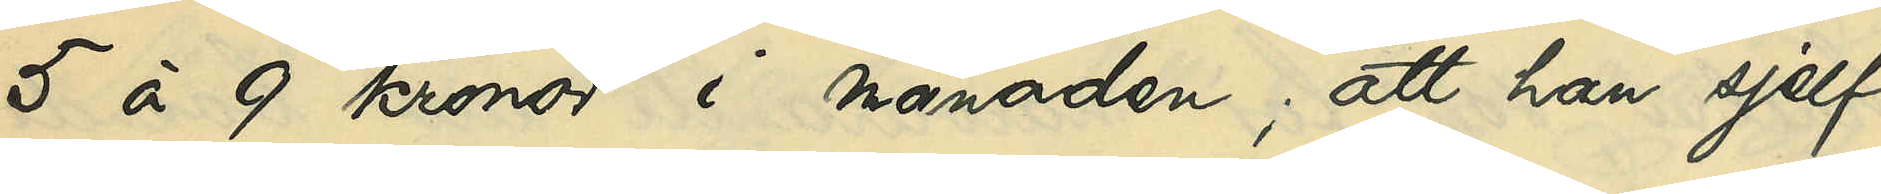5 à 9 kronor i månaden; att han sjelf
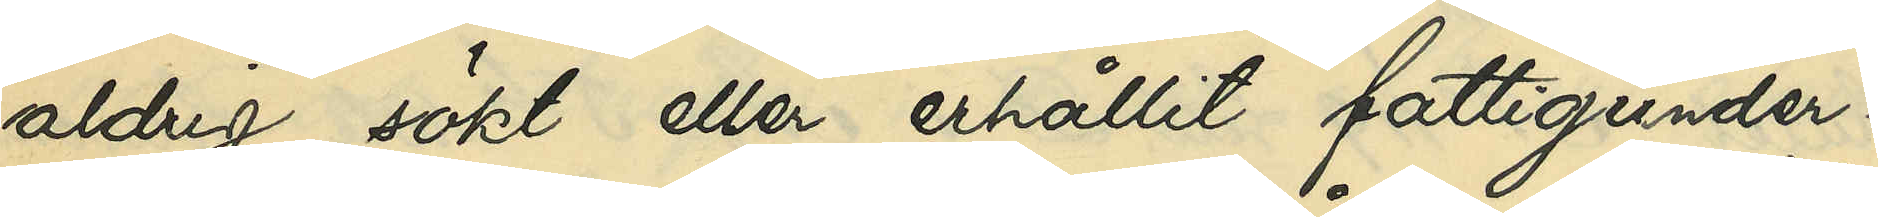aldrig sökt eller erhållit fattigunder¬
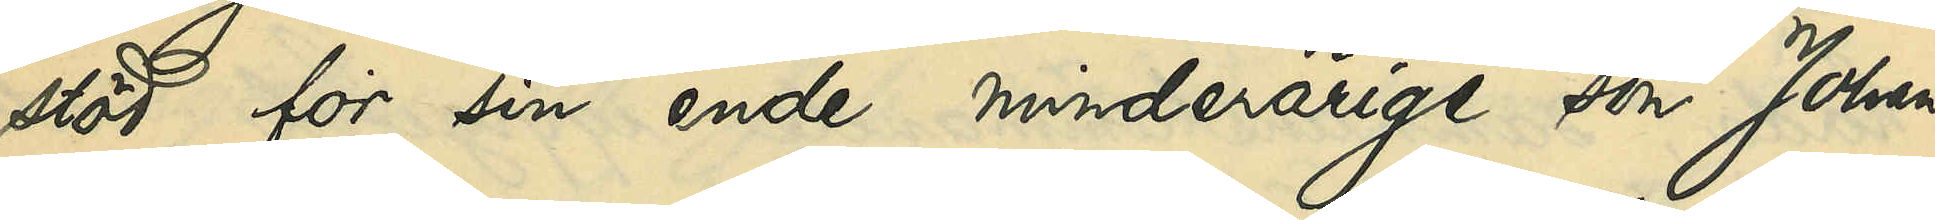stöd för sin ende minderårige son Johan
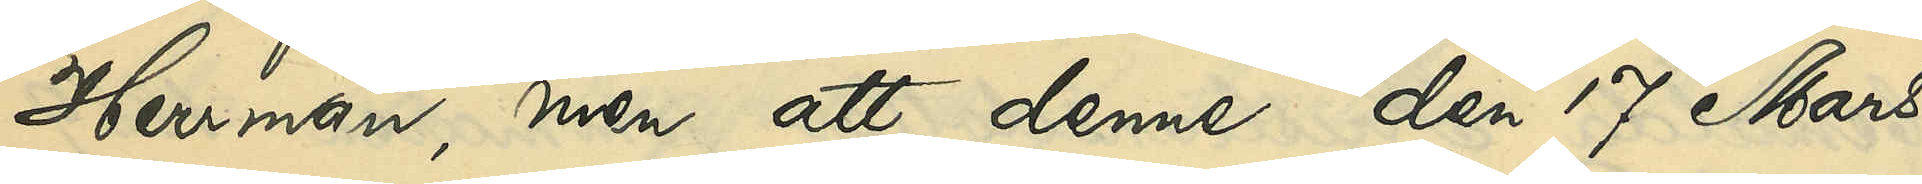Herrman; men att denne den 17 Mars
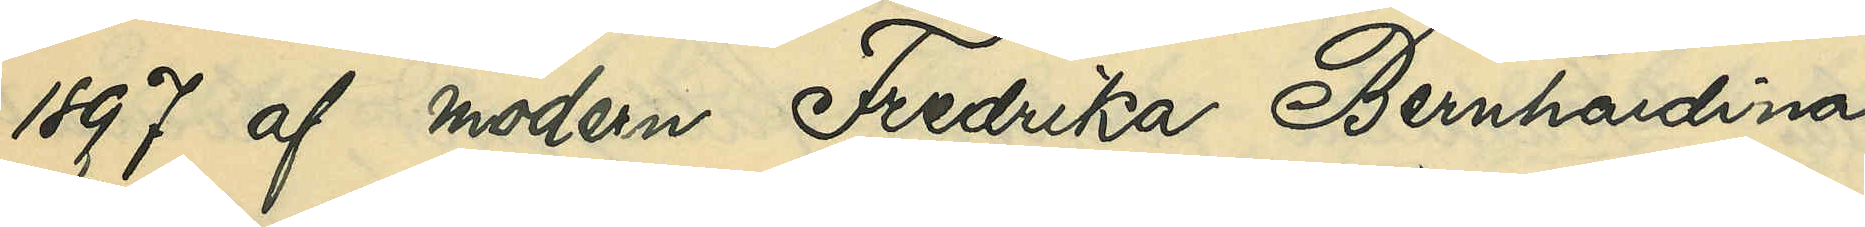1897 af modern Fredrika Bernhardina
